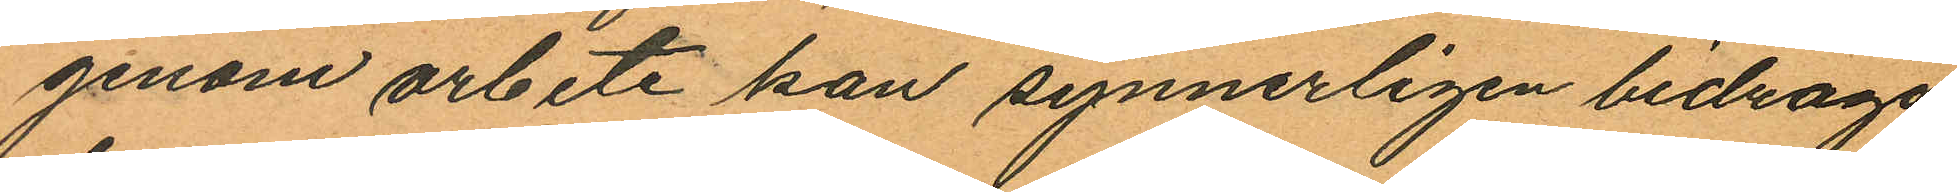genom arbete kan synnerligen bidraga
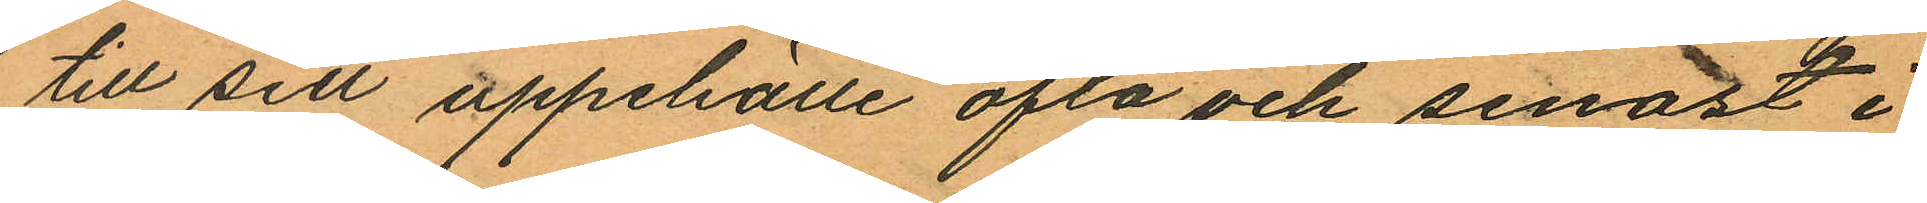till sitt uppehälle ofta och senast i
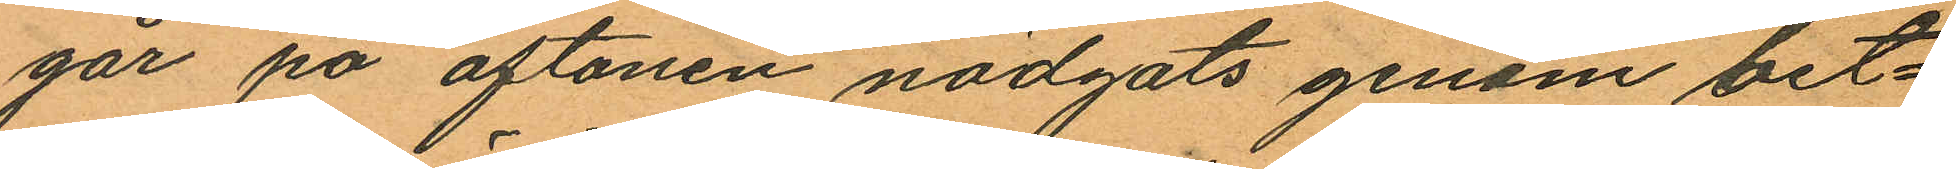går på aftonen nödgats genom bet¬
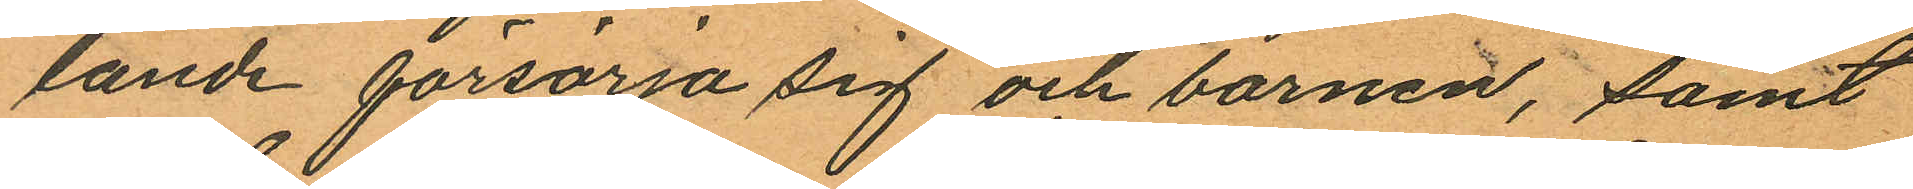lande försörja sig och barnen, samt
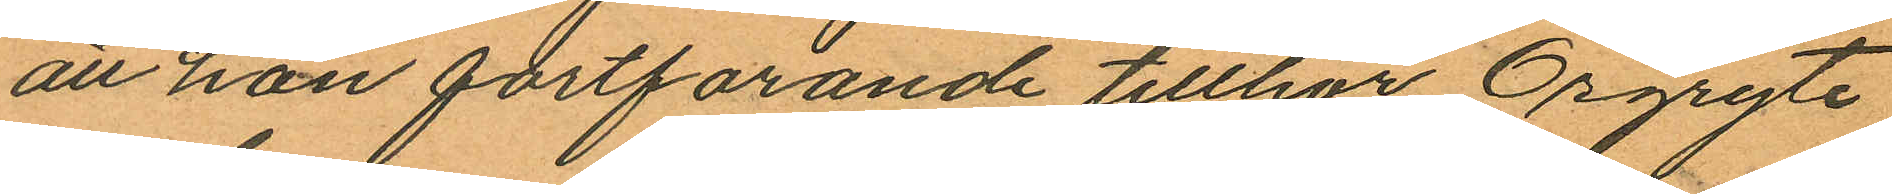att hon fortfarande tillhör Örgryte
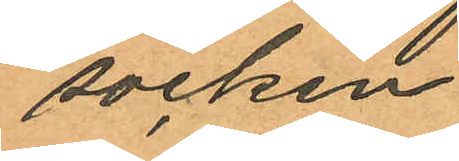socken
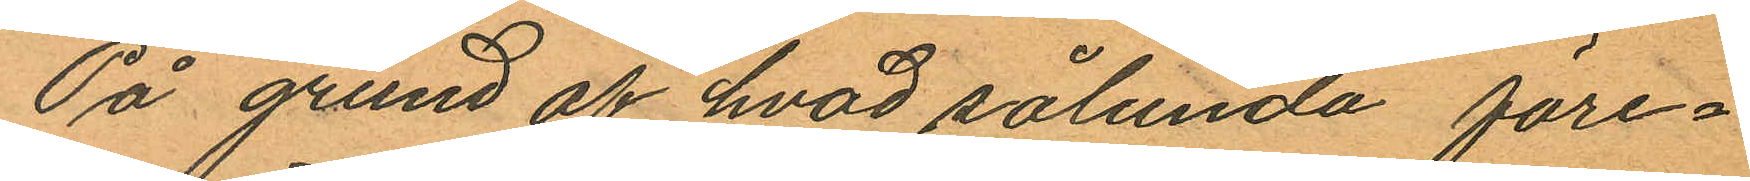På grund af hvad sålunda före¬
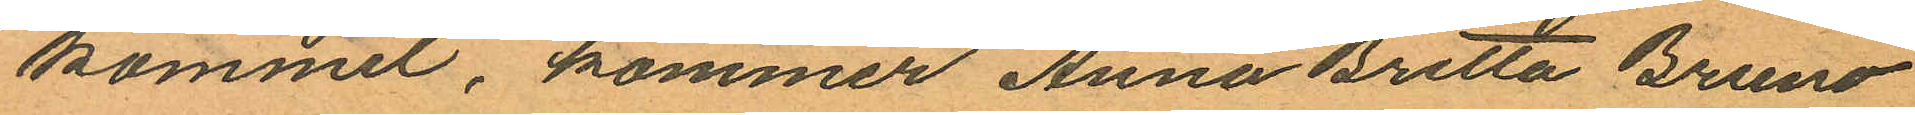kommit, kommer Anna Britta Bruno
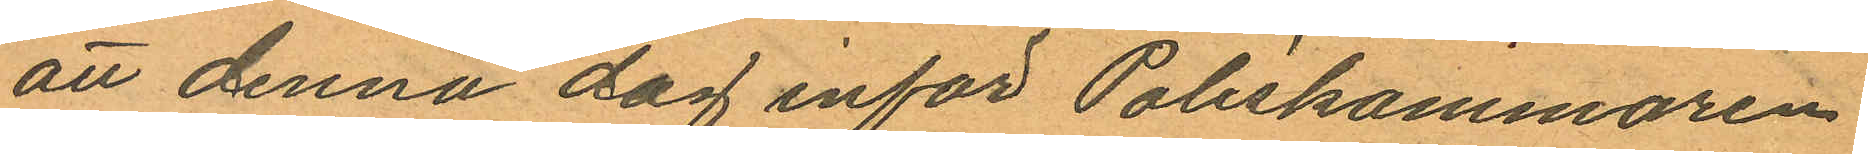att denna dag inför Poliskammaren
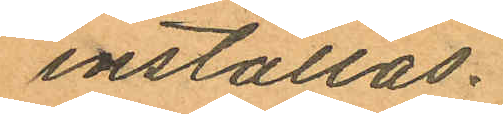inställas.
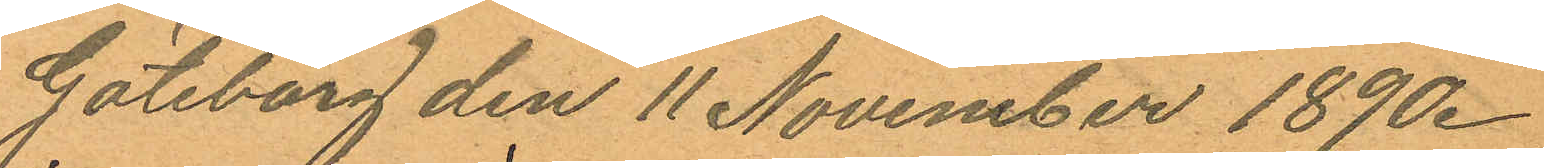Göteborg den 11 November 1890.
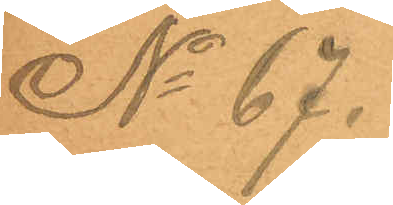No 67.
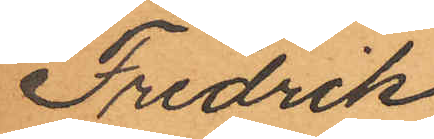Fredrik
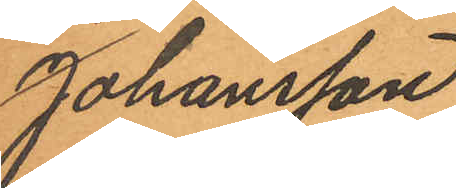Johansson
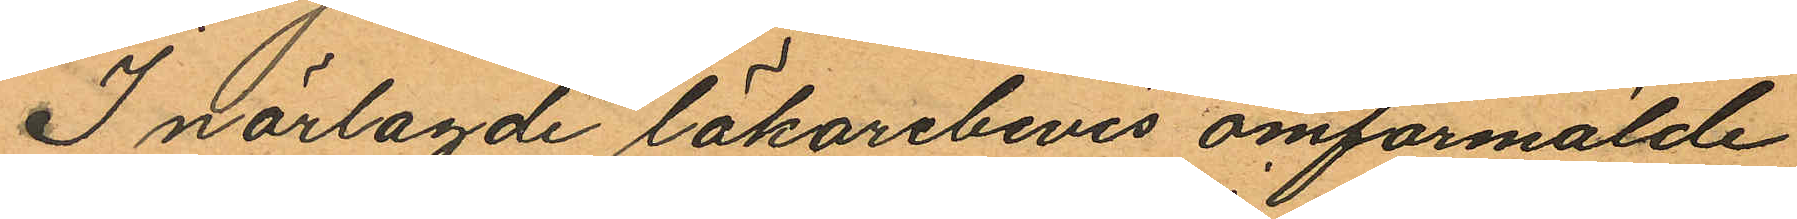I närlagde läkarebevis omförmälde
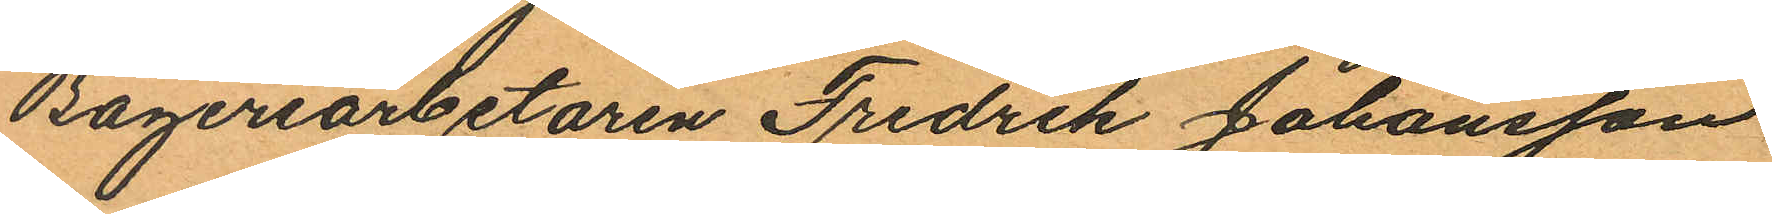Bageriarbetaren Fredrik Johansson
